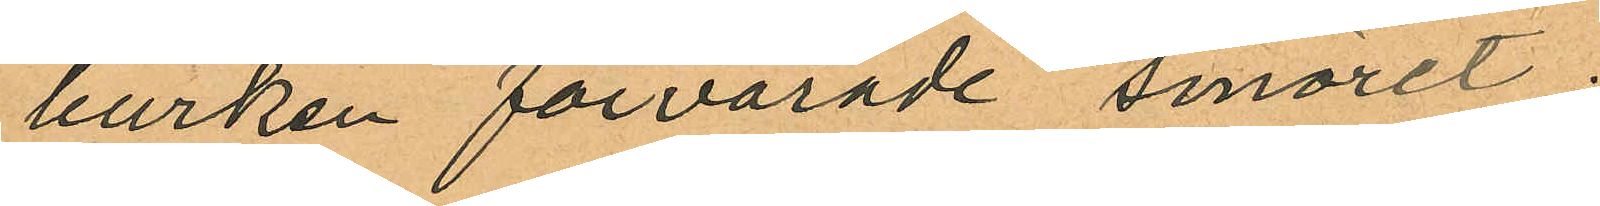burken förvarade smöret;
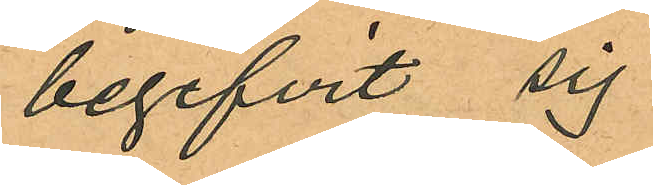begifvit sig
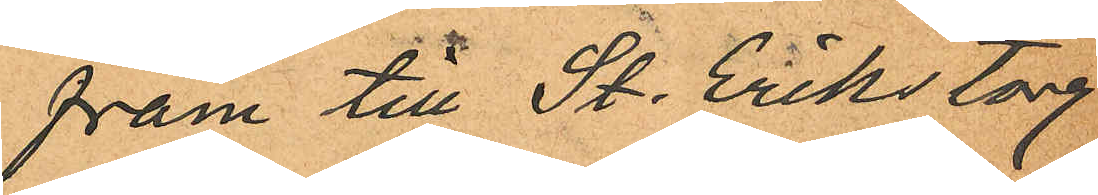fram till St. Eriks torg
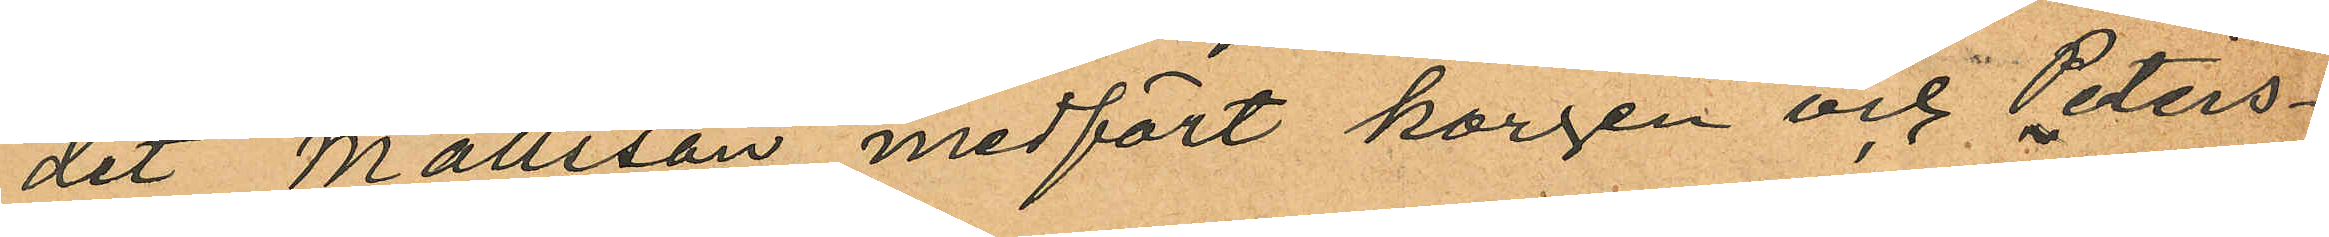dit Mattsson medfört korgen och Peters¬
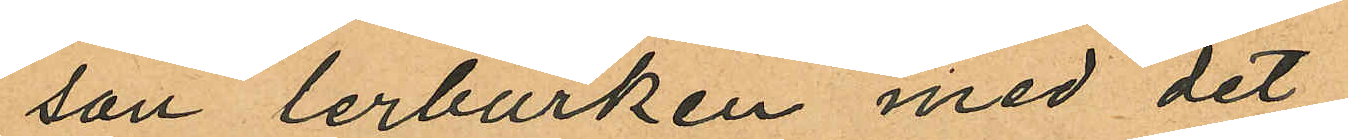son lerburken med det
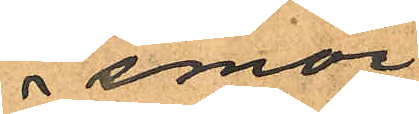 smör
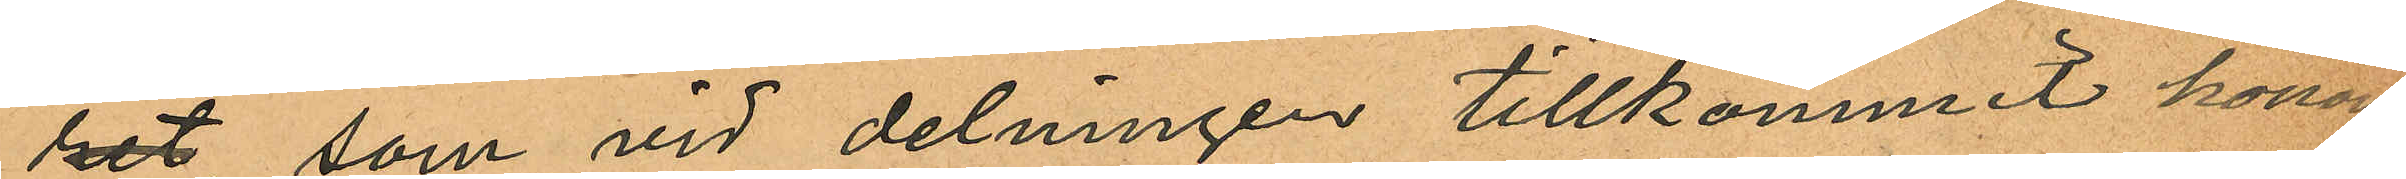het, som vid delningen tillkommit honom;
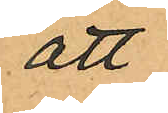att
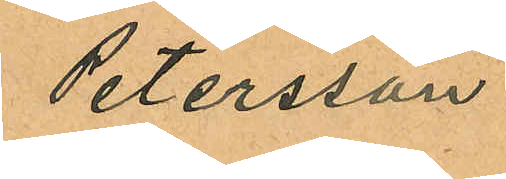Petersson
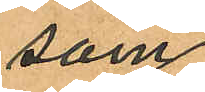som
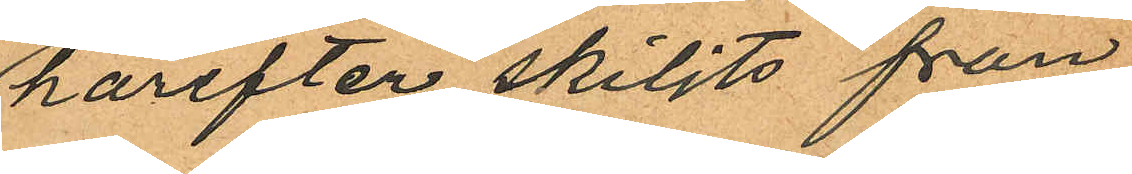härefter skiljts från
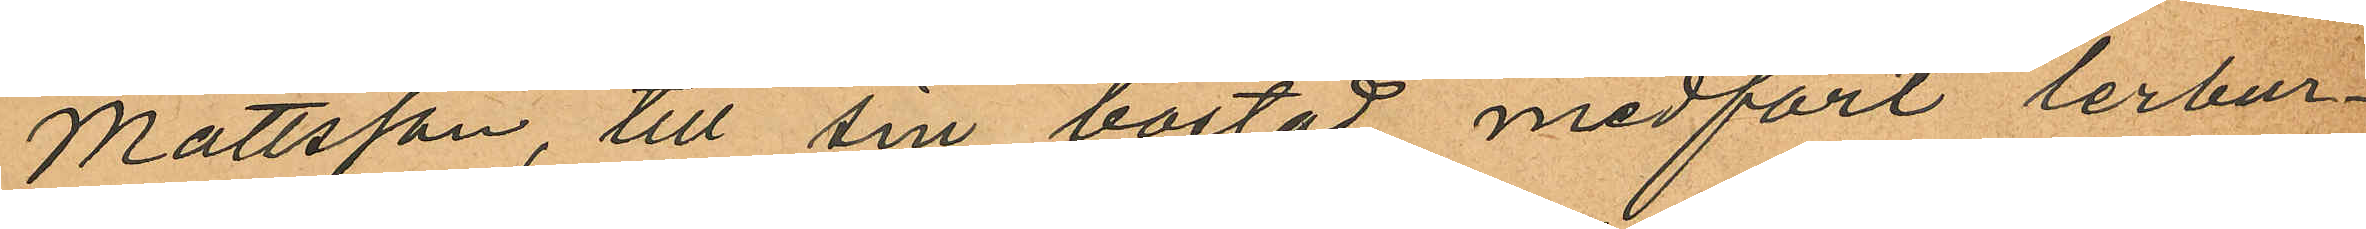Mattsson, till sin bostad medfört lerbur¬
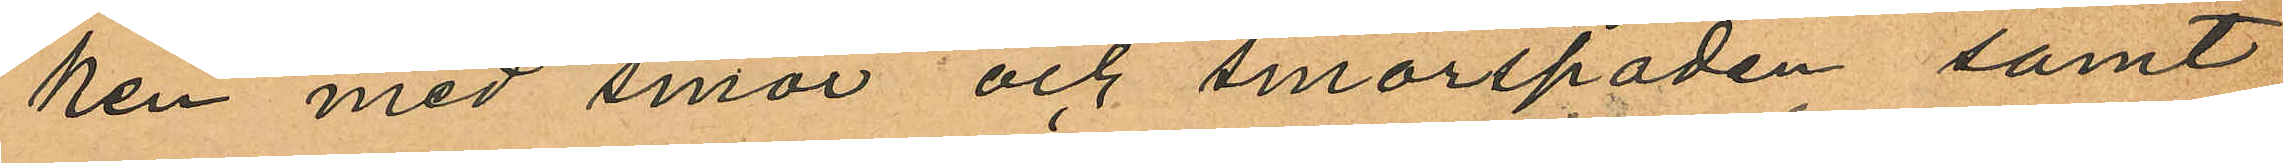ken med smör och smörspaden samt
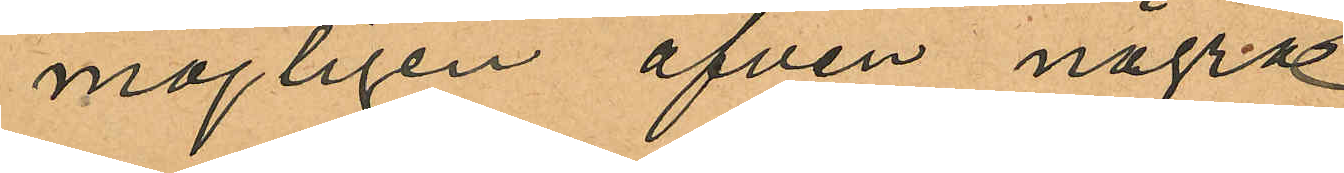möjligen äfven några
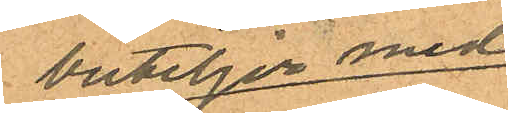buteljer med
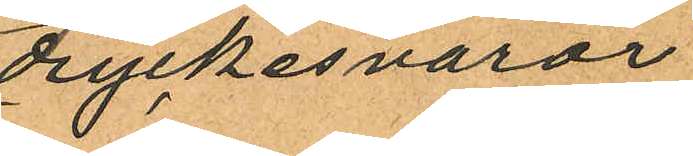dryckesvaror;
